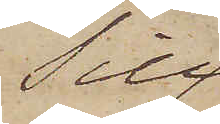Till
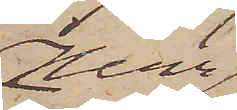Herr
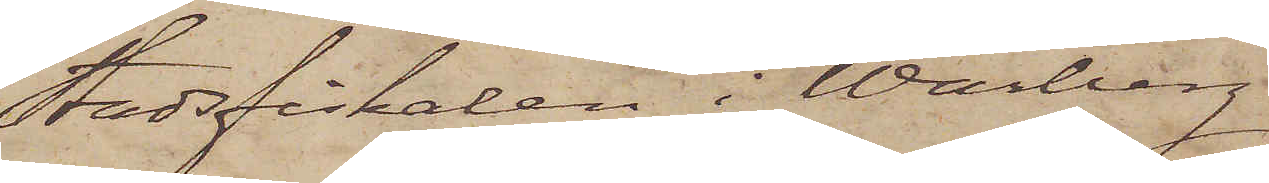Stadsfiskalen i Warberg
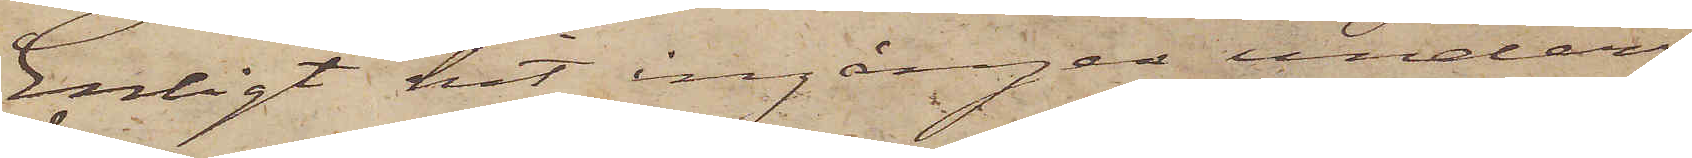Enligt hit ingången under¬
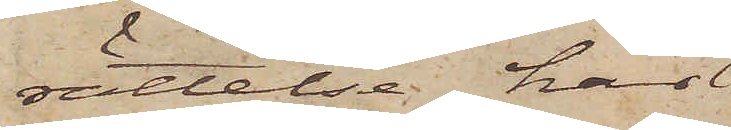rättelse, har
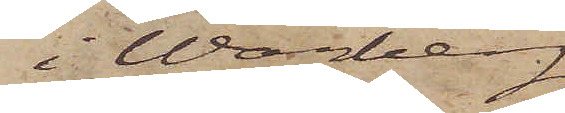i Warberg
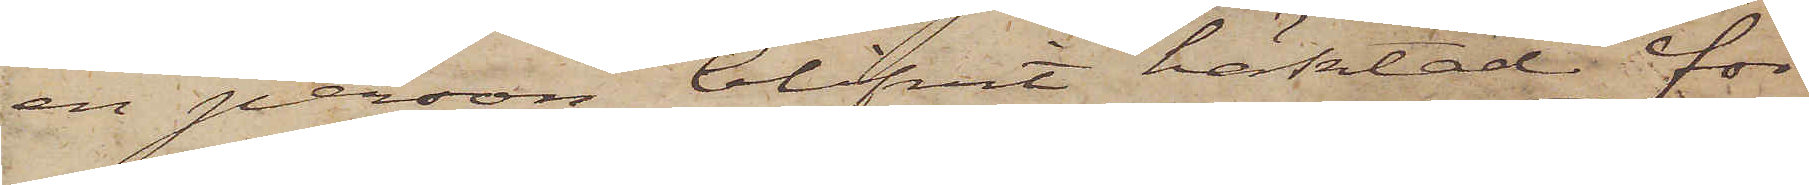en person blifvit häktad för
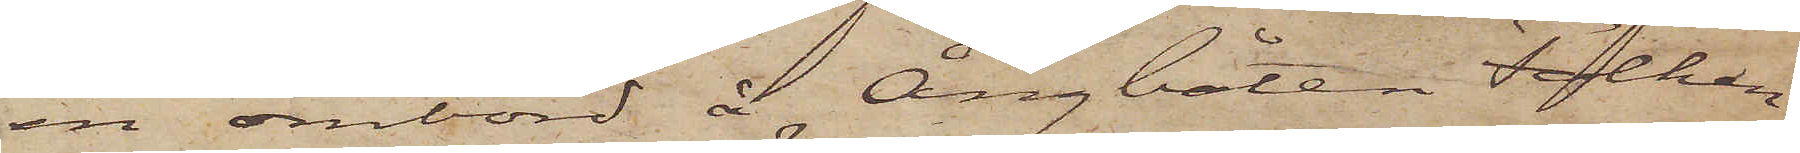en ombord å Ångbåten Falken
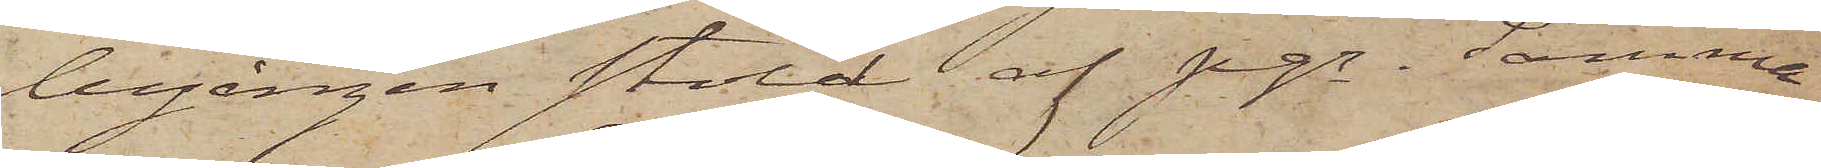begången stöld af pgr. Samma
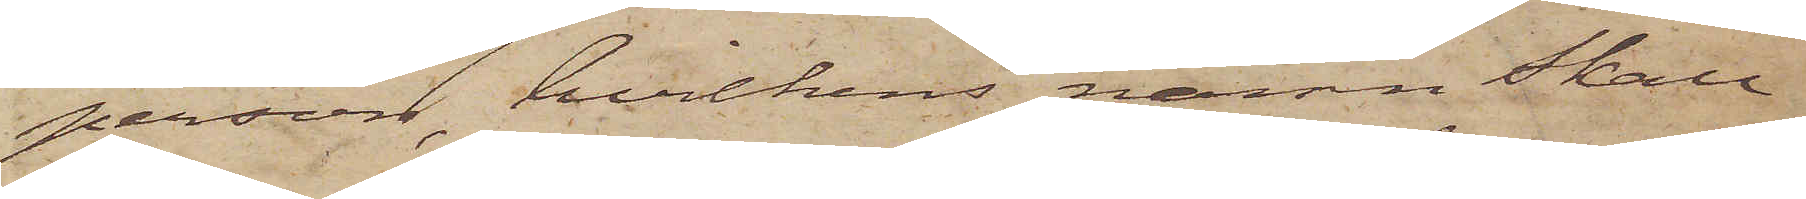person, hvilkens namn skall
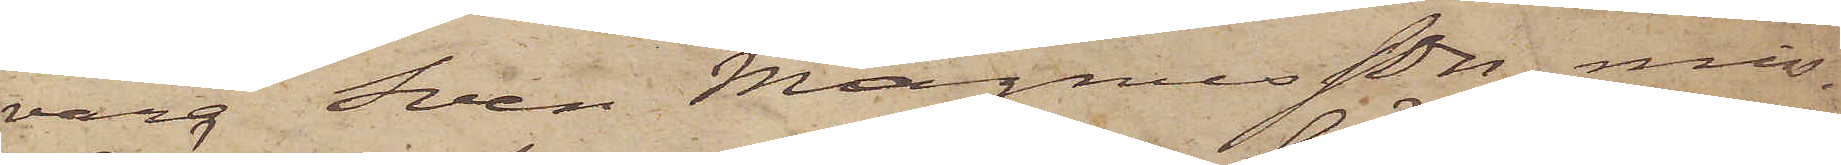vara Sven Magnusson, miss¬
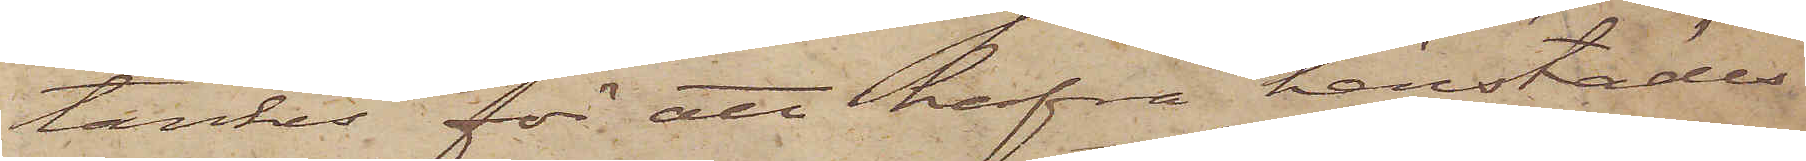tänkes för att hafva härstädes
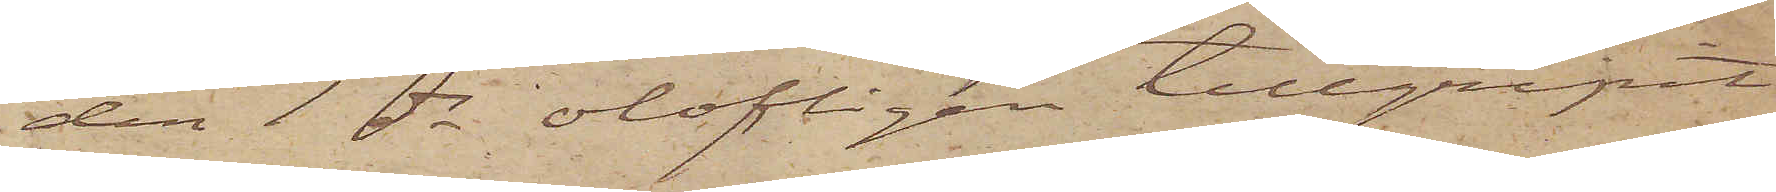den 1 ds olofligen tillgripit
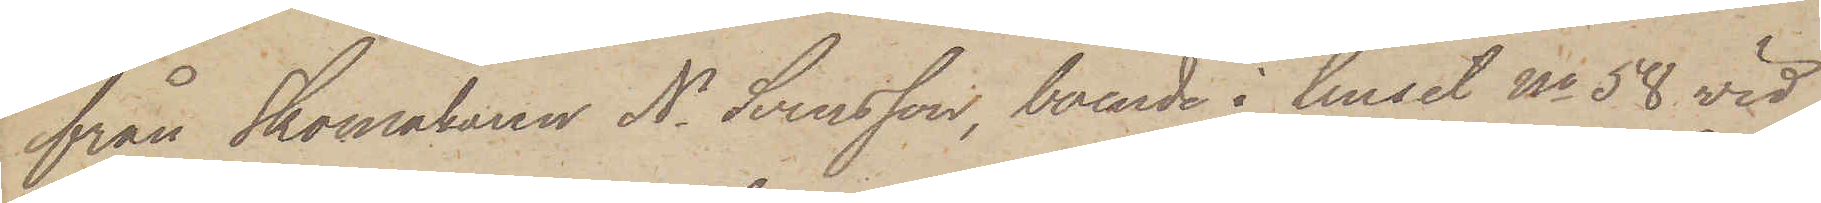från Skomakaren N. Svensson, boende i huset No 58 vid
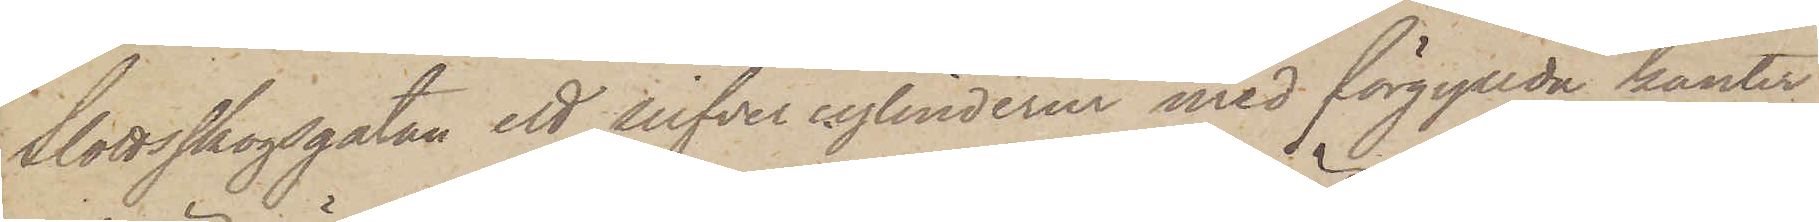Slottsskogsgatan ett silfvercylinderur med förgyllda kanter
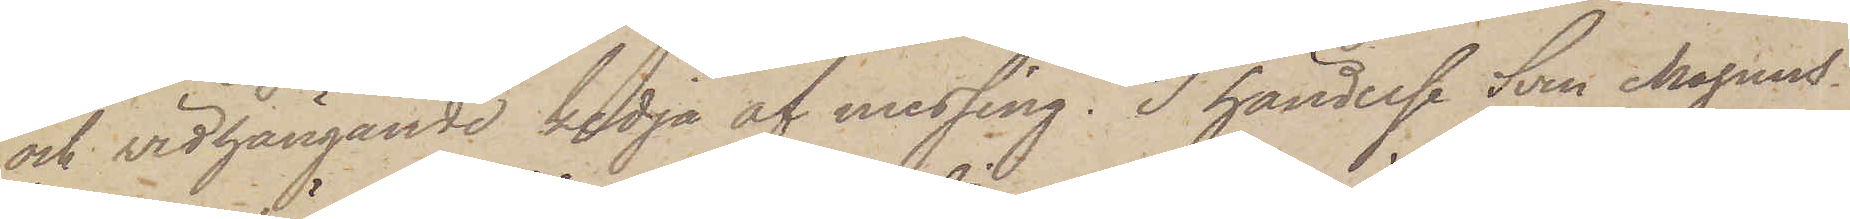och vidhängande kedja af messing. I händelse Sven Magnus¬
